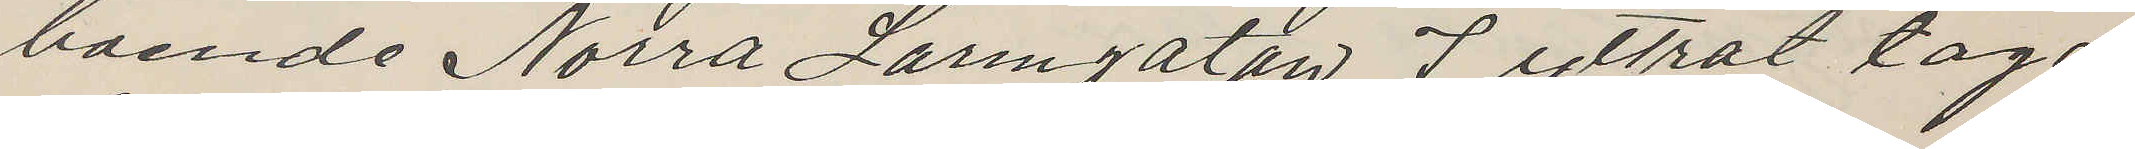boende Norra Larmgatan 7 yttrat taga
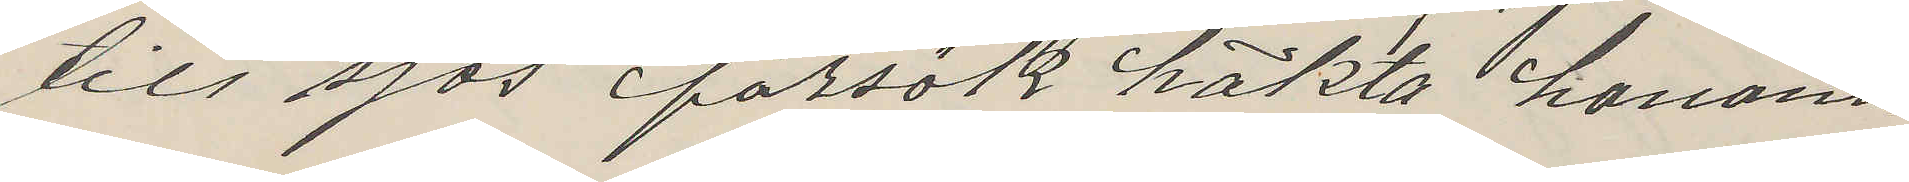till sjös försök häkta honom.
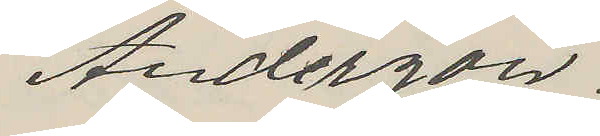Anderson.
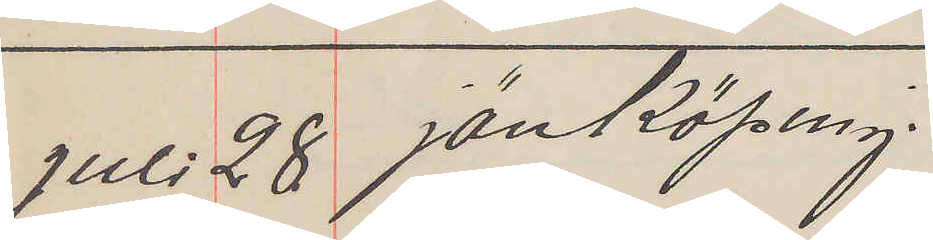Juli 28 Jönköping.
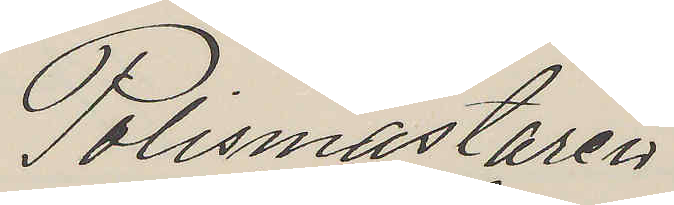Polismästaren
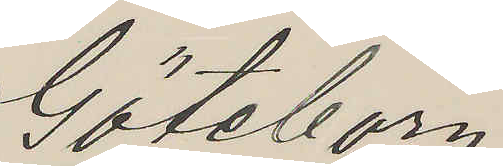Göteborg.
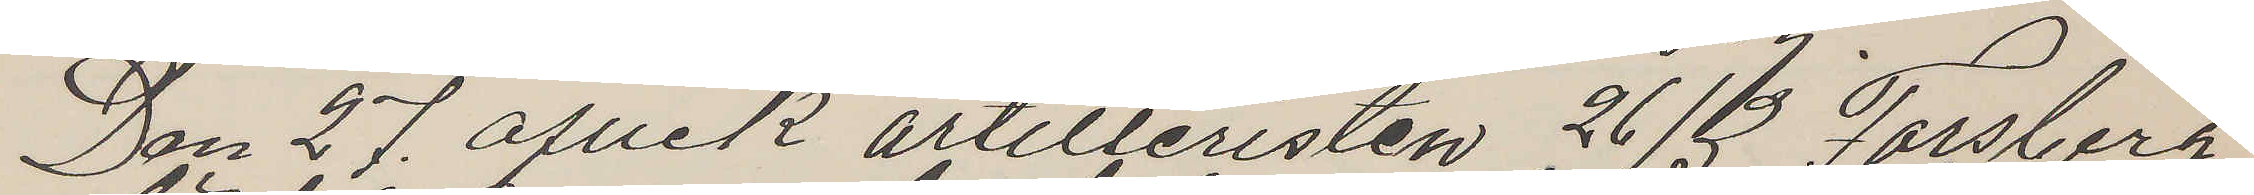Den 27. afvek artilleristen 26/3 Forsberg
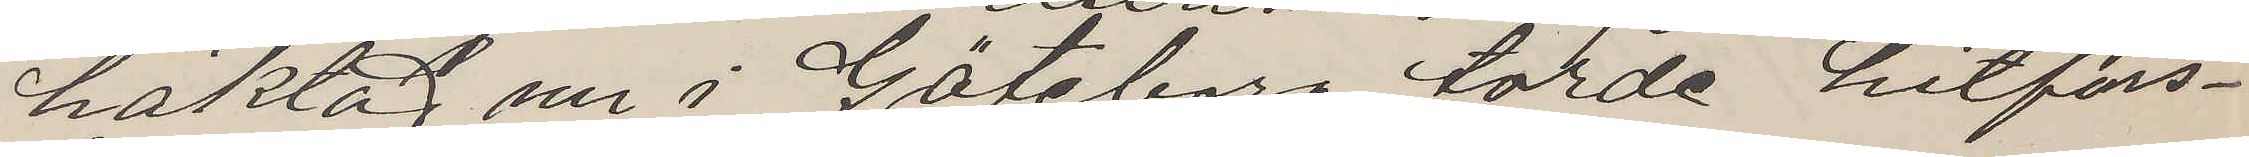häktad nu i Göteborg torde hitfors¬
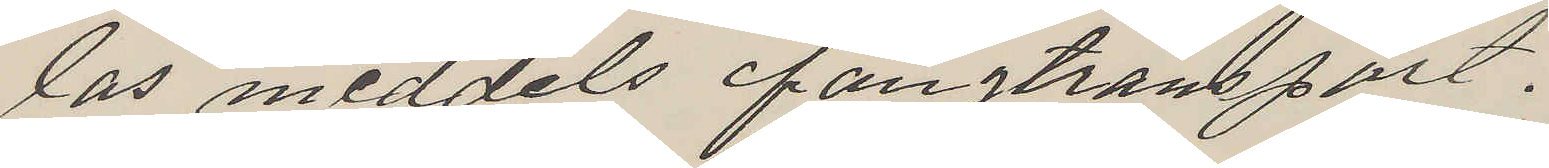las meddels fångtransport.
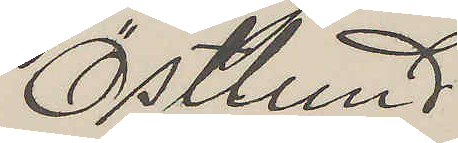Östlund
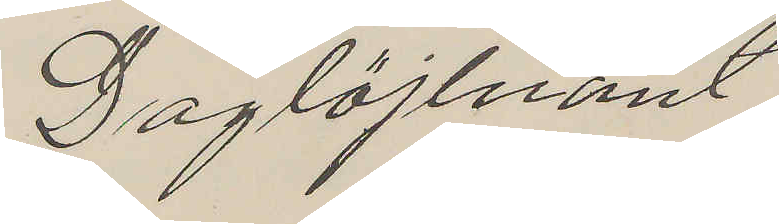Daglöjtnant
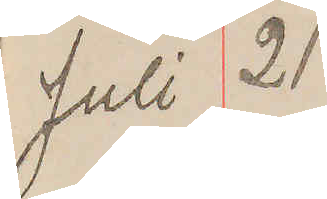Juli 21
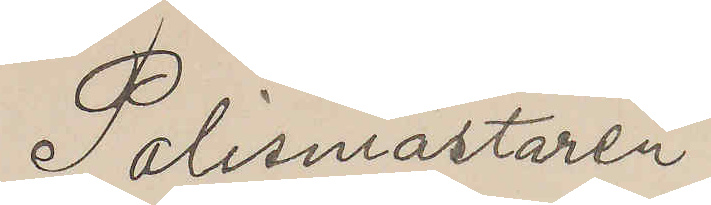Polismästaren
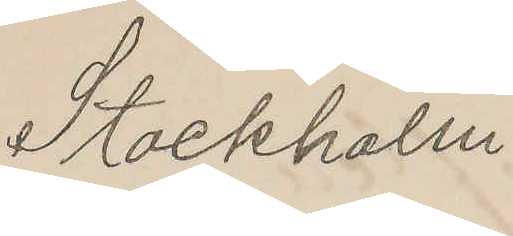Stockholm
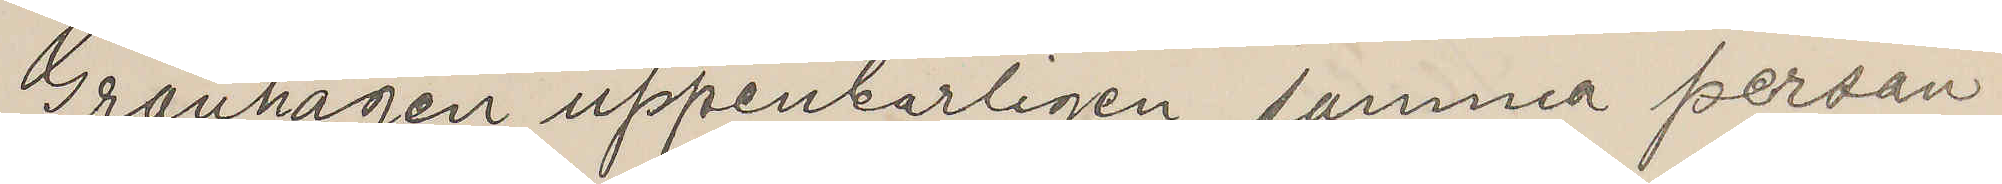Grönhagen uppenbarligen samma person
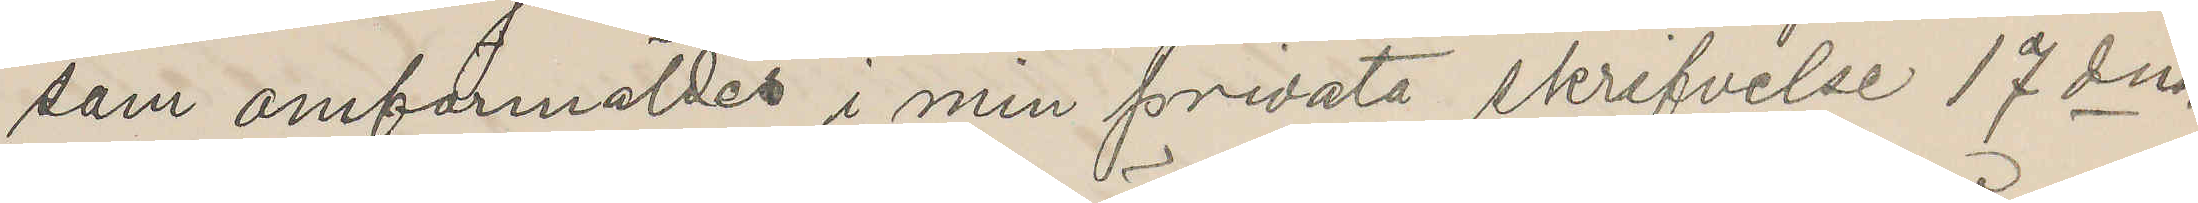som omförmäldes i min privata skrifvelse 17 dns
